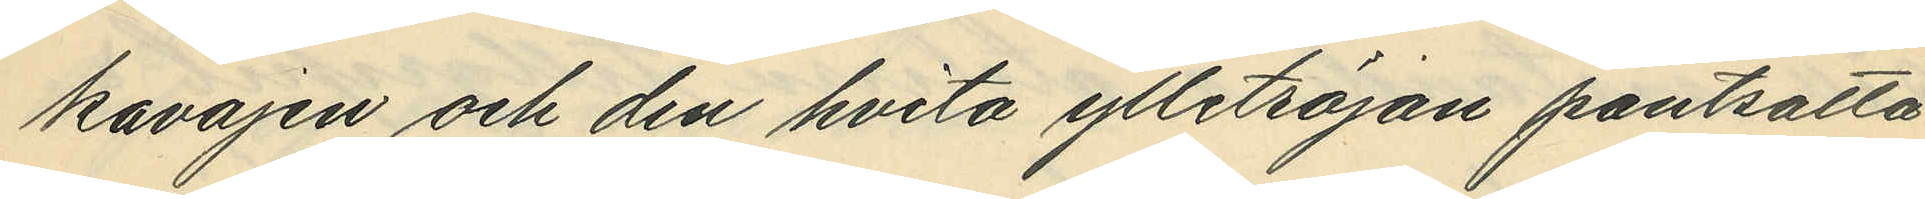kavajen och den hvita ylletröjan pantsatta
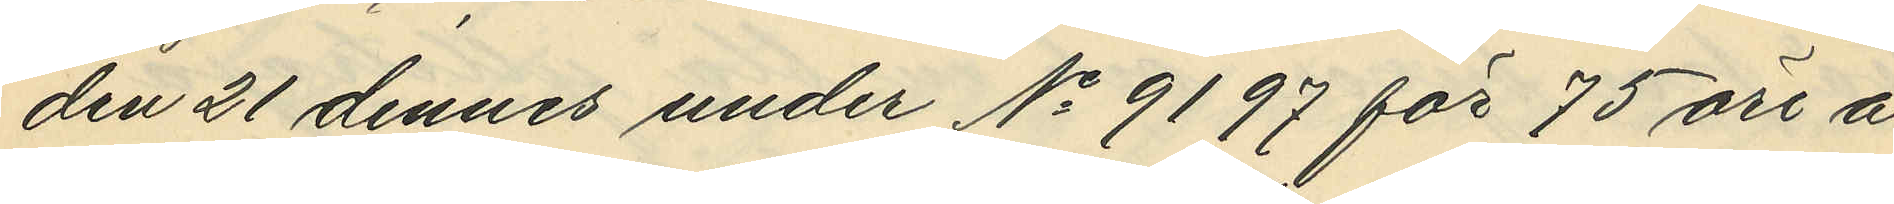den 21 dennes under No 9197 för 75 öre å
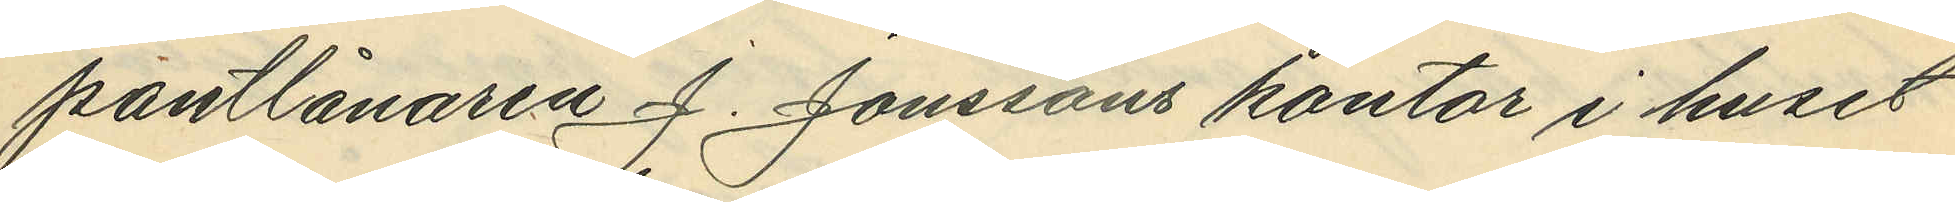pantlånaren J. Jonssons kontor i huset
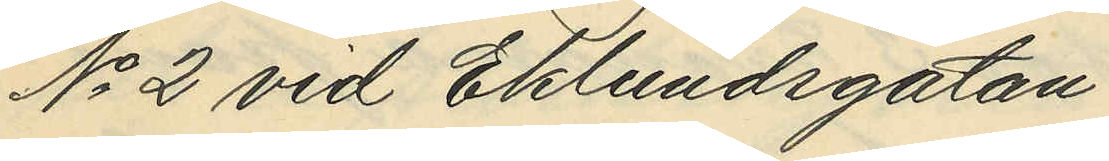No 2 vid Eklundsgatan,
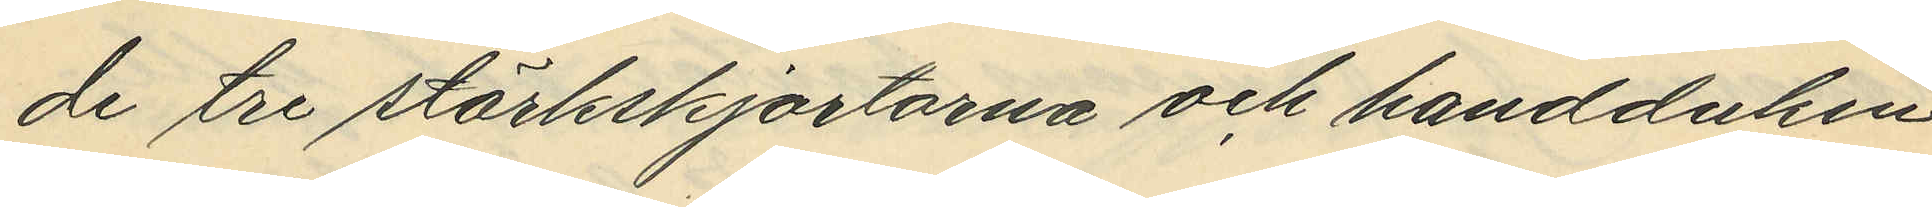de tre stärkskjortorna och handduken
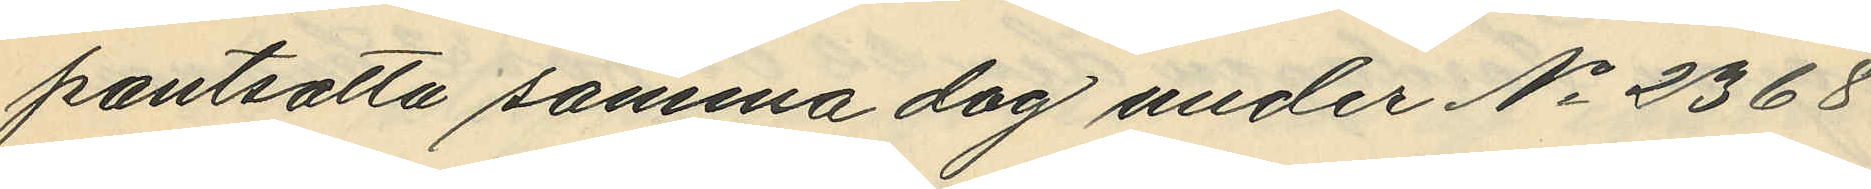pantsatta samma dag under No 2368
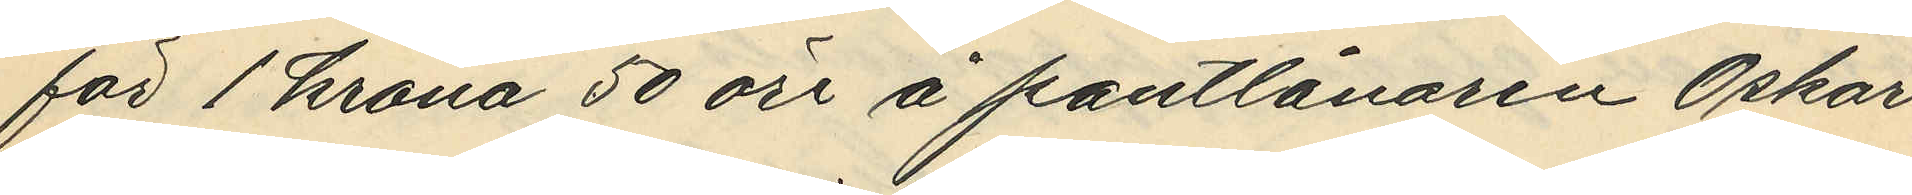för 1 krona 50 öre å pantlånaren Oskar
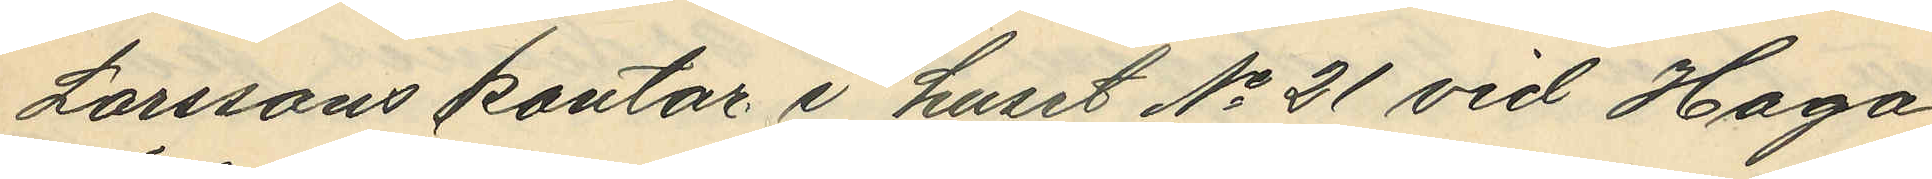Larssons kontor i huset No 21 vid Haga
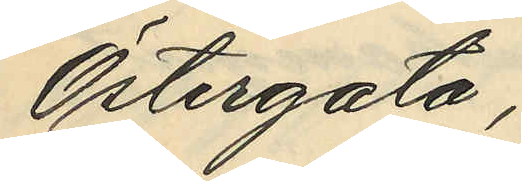Östergata;
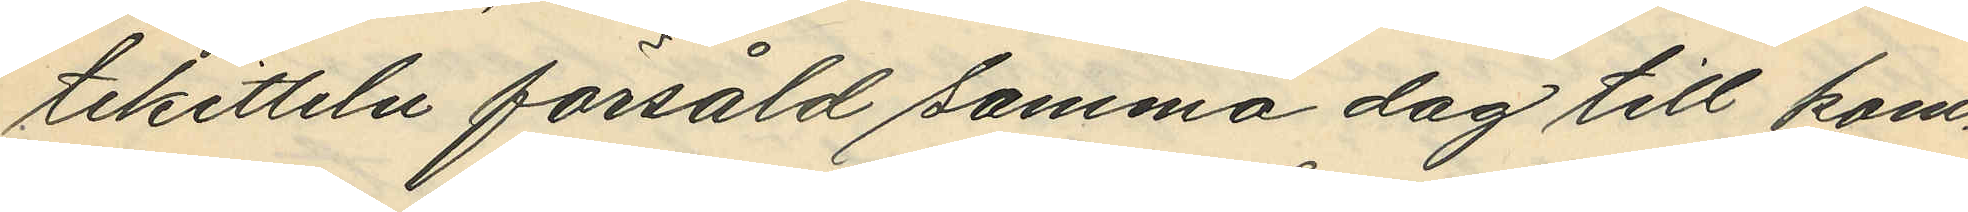tekitteln försåld samma dag till kom¬
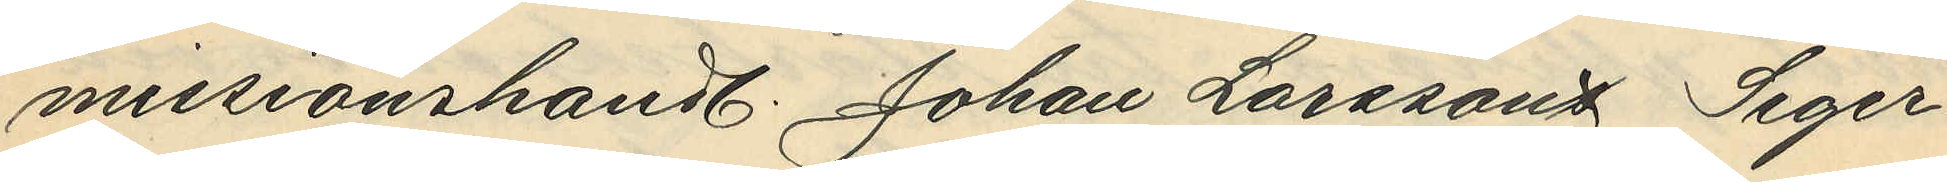missionshandl. Johan Larsson Seger¬
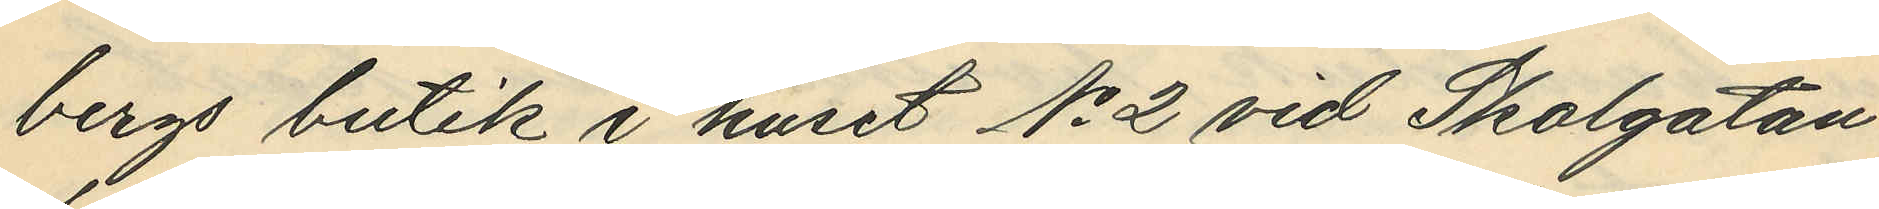bergs butik i huset No 2 vid Skolgatan
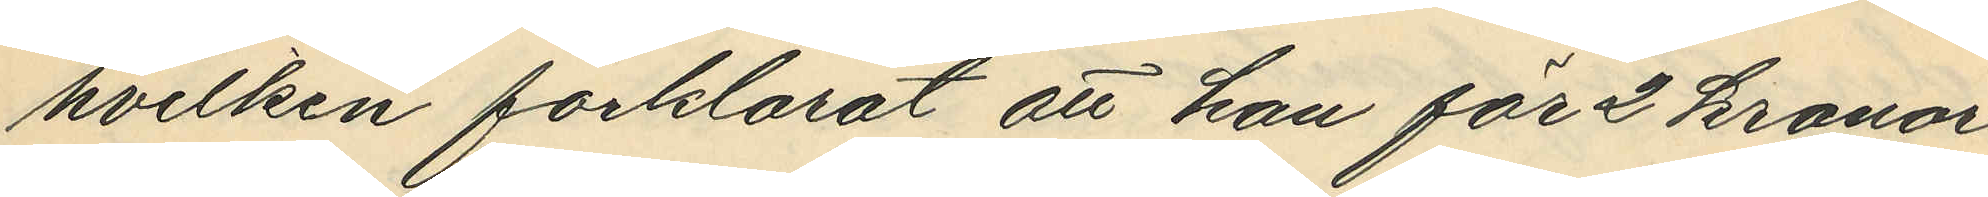hvilken förklarat att han för 2 kronor
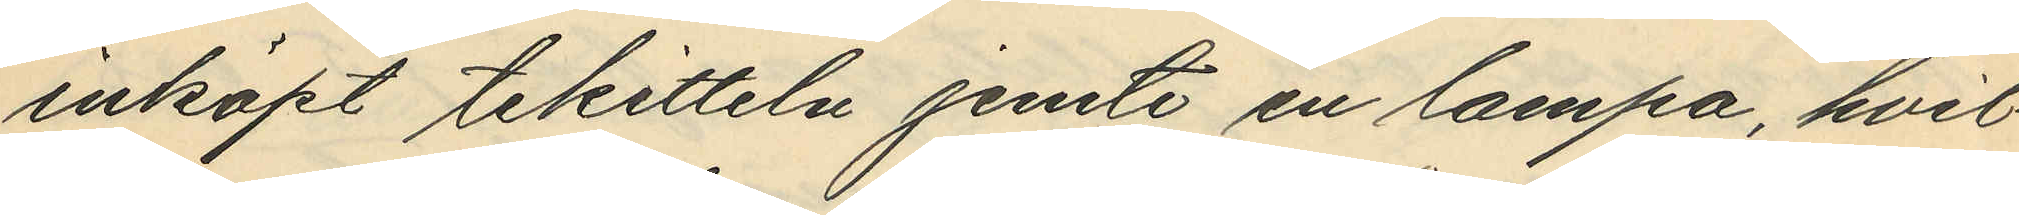inköpt tekitteln jemte en lampa, hvil¬
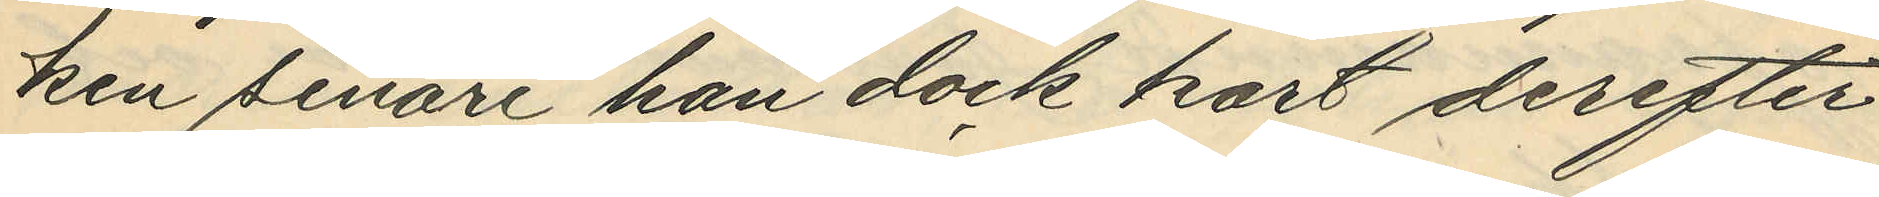ken senare han dock kort derefter
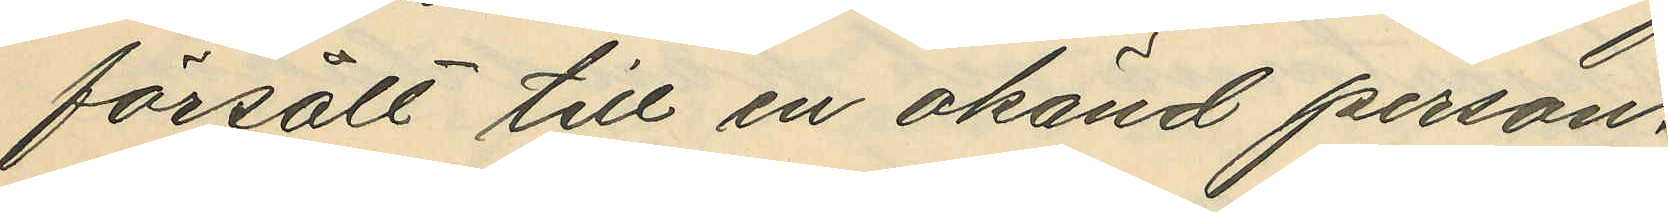försålt till en okänd person.
